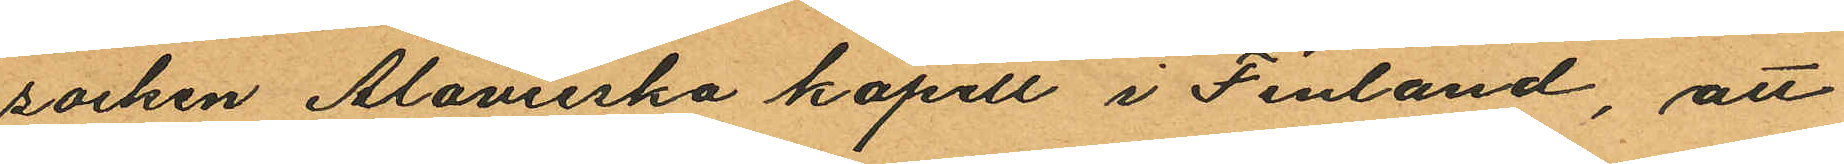socken Alavieska kapell i Finland, att
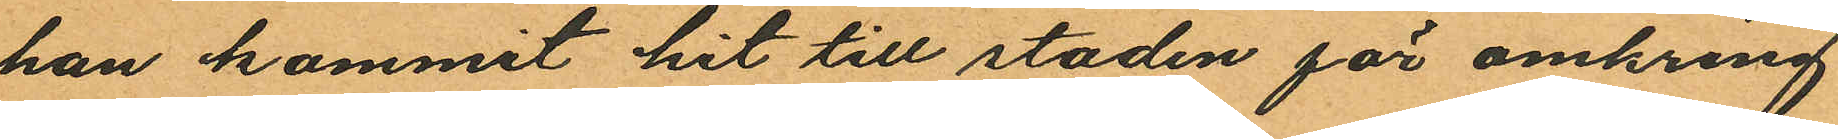han kommit hit till staden för omkring
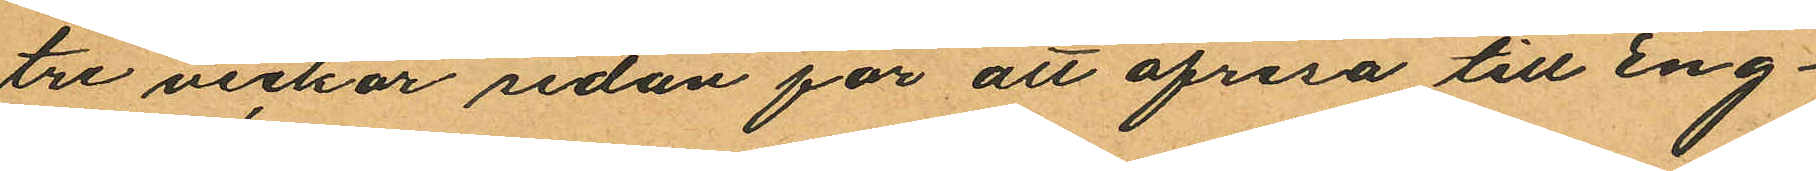tre veckor sedan för att afresa till Eng¬
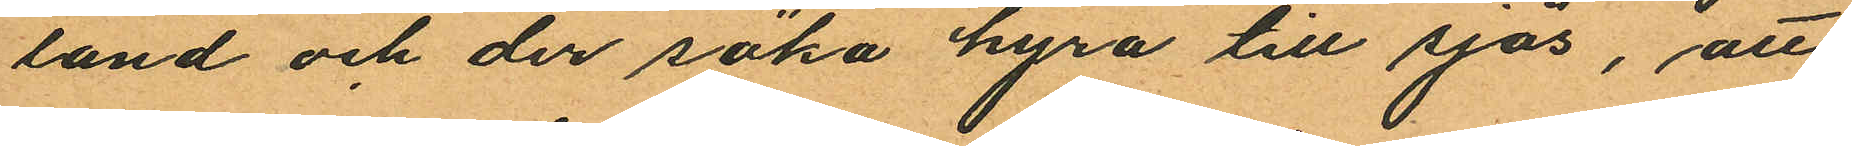land och der söka hyra till sjös, att
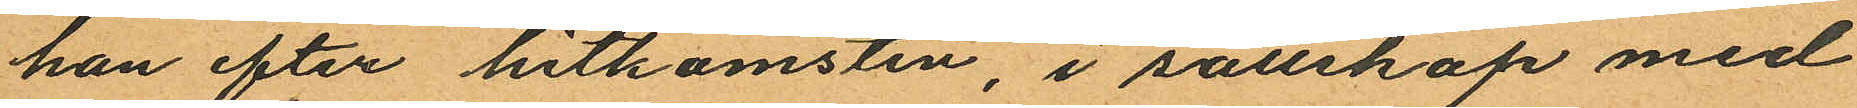han efter hitkomsten, i sällskap med
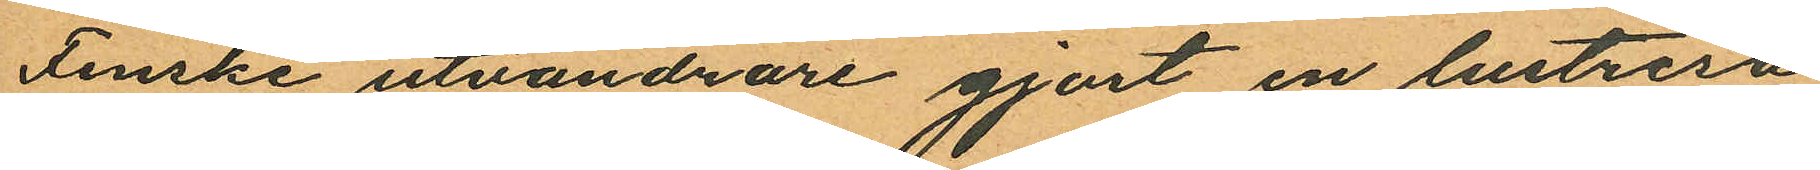Finske utvandrare gjort en lustresa
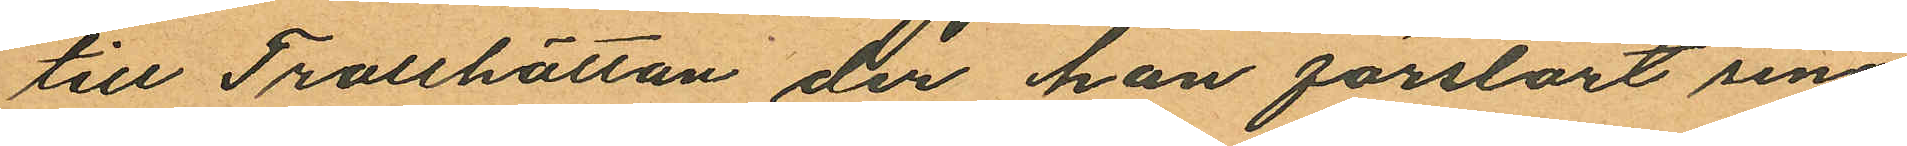till Trollhättan der han förstört sina
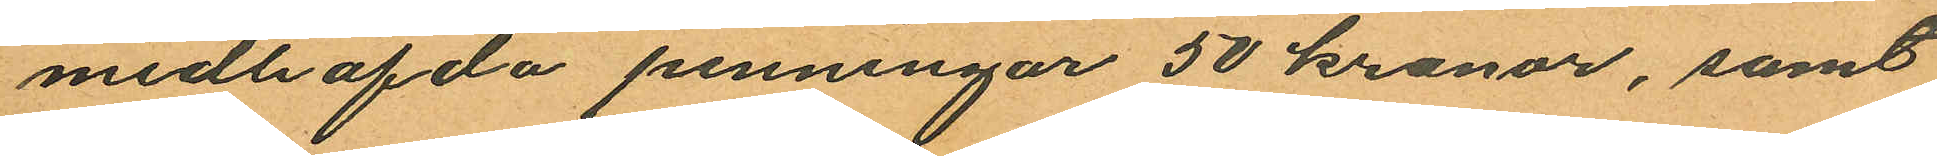medhafda penningar 50 kronor, samt
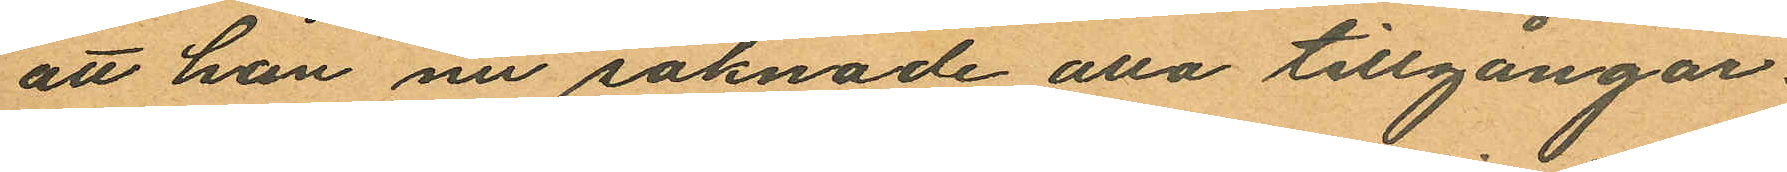att han nu saknade alla tillgångar.
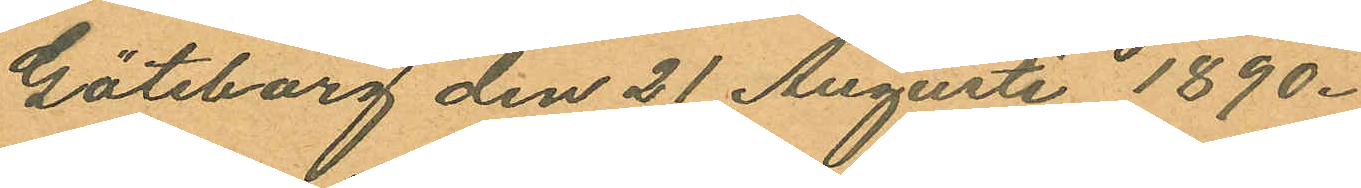Göteborg den 21 Augusti 1890.
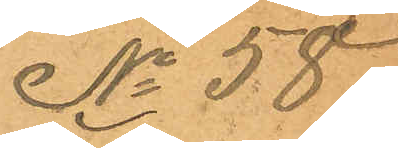No 58.
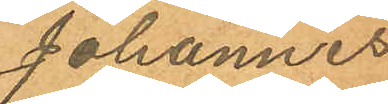Johannes
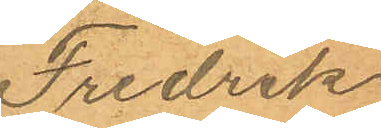Fredrik
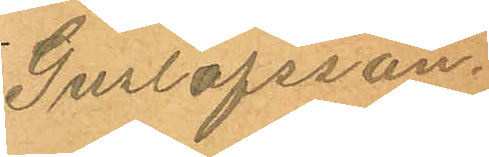Guslafsson.
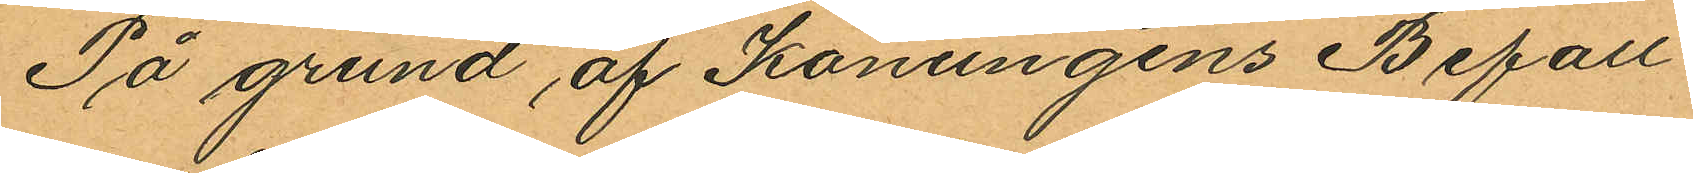På grund af Konungens Befall¬
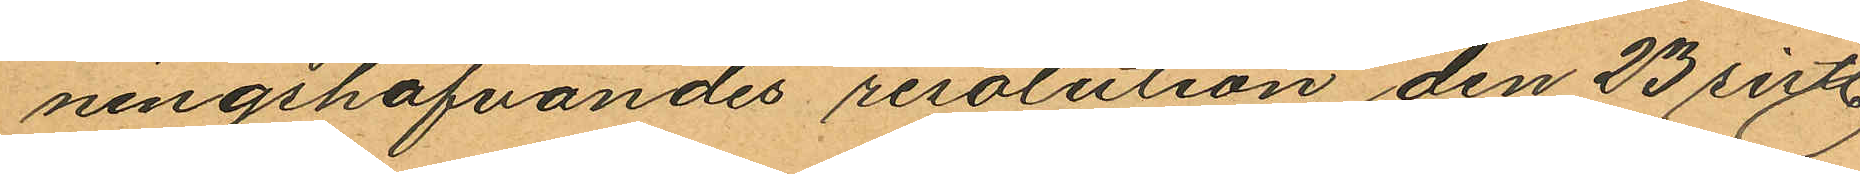ningshafvandes resolution den 23 sist.
